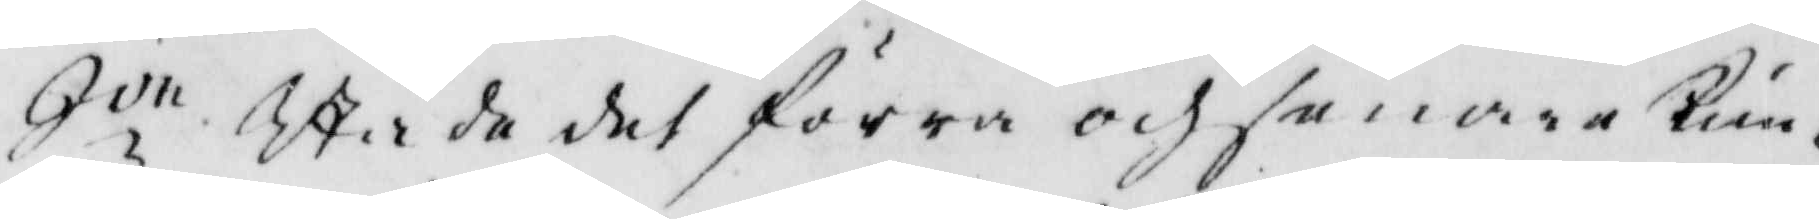qve, skåda det förra och senare kun¬
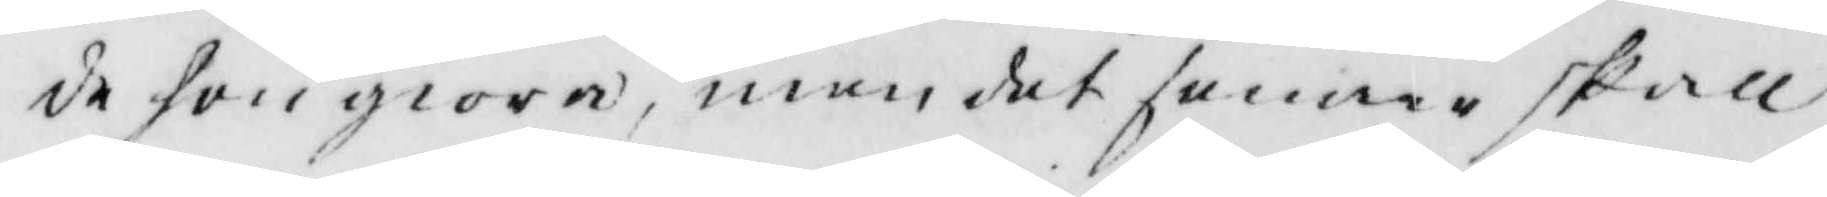de hon giöra, men det senare skall
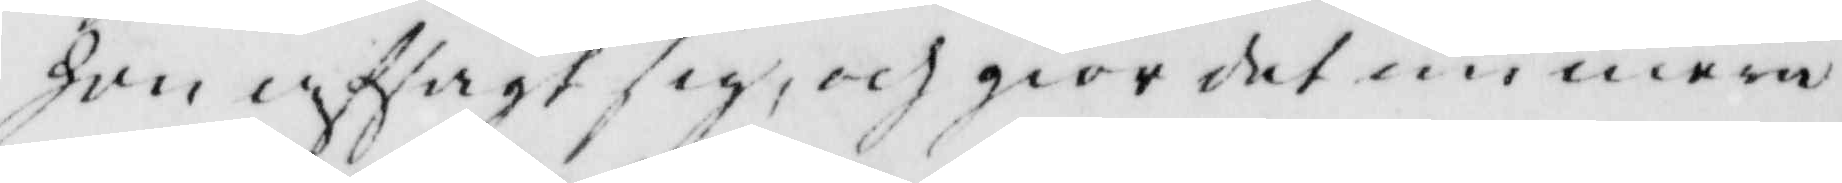hon afsagt sig, och giör det nu mera
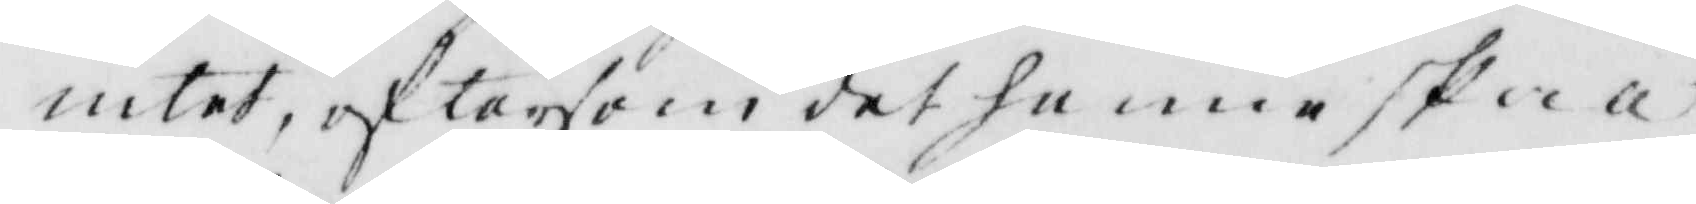intet, eftersom det henne skall
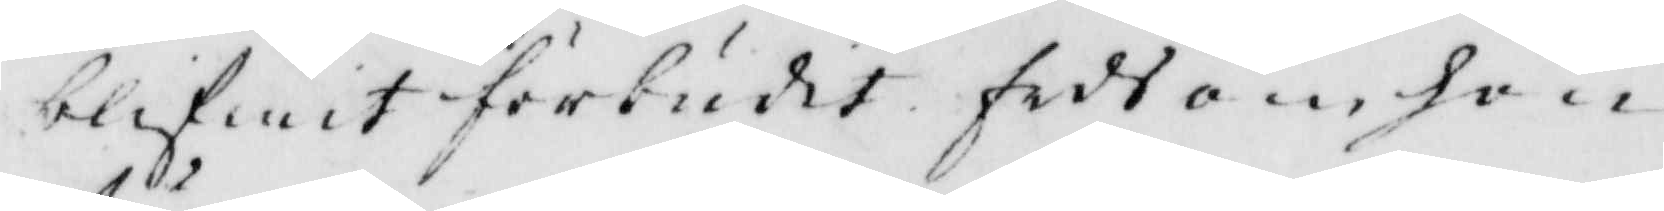blifwit förbudit sedh om hon
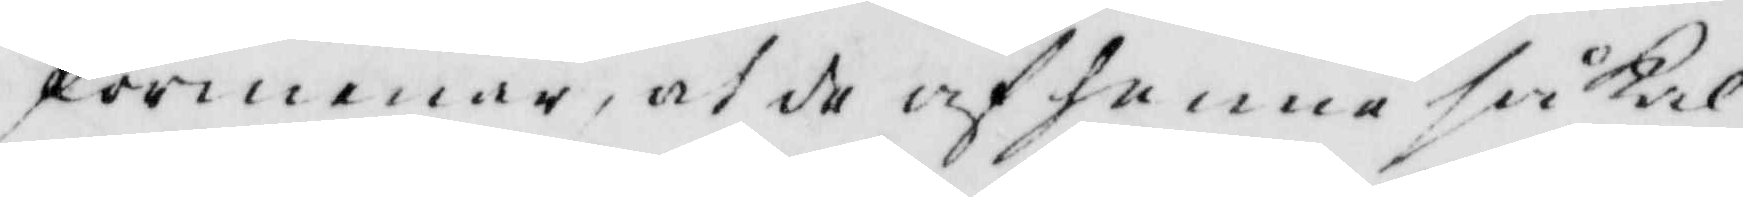förmenar, at de af henna så kal¬
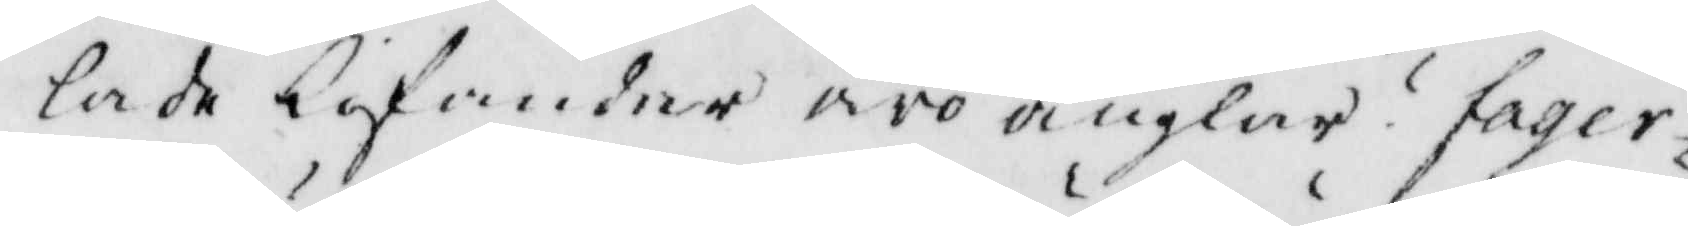lade befander äro änglar? fager¬
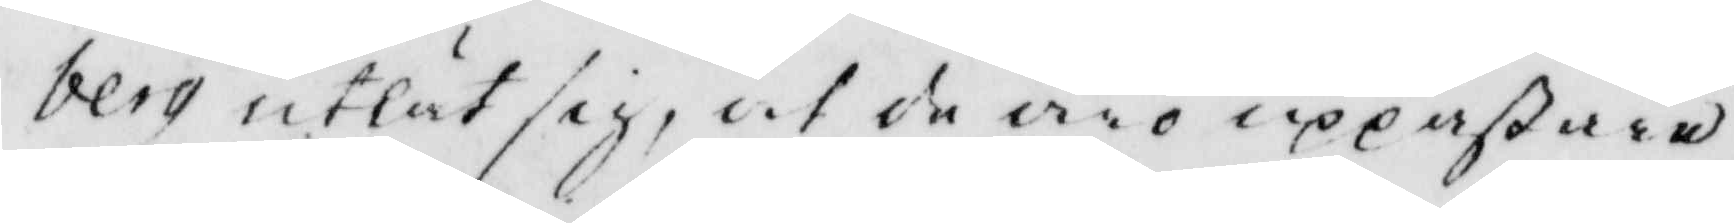berg utlät sig, at de äro uppastare
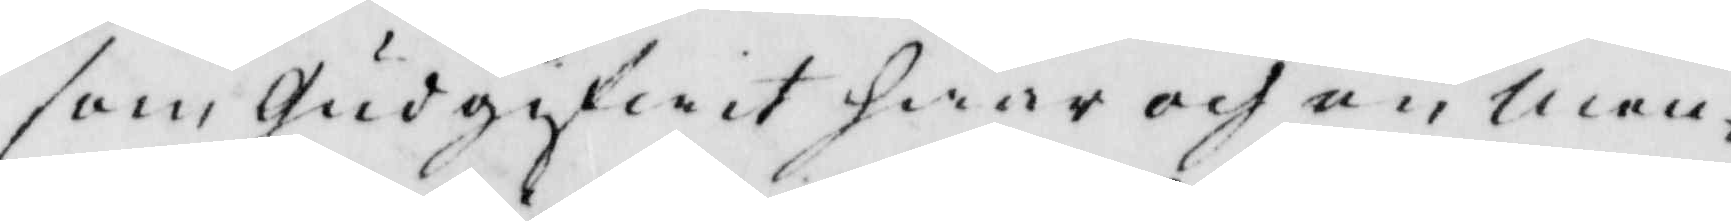som Gud gifwit hwar och en men¬
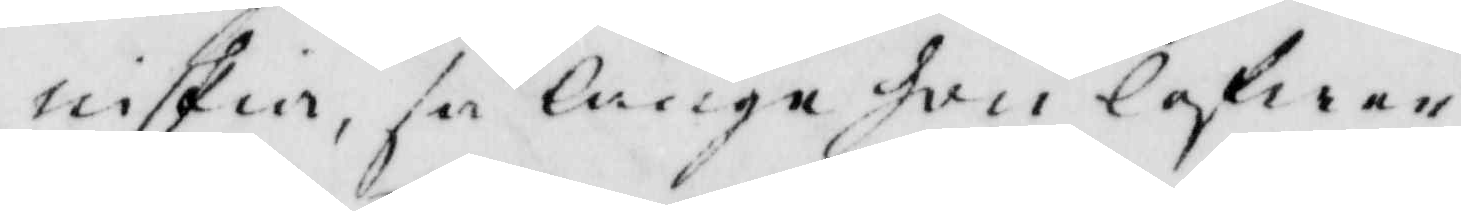niskia, så länge hon lefwer.
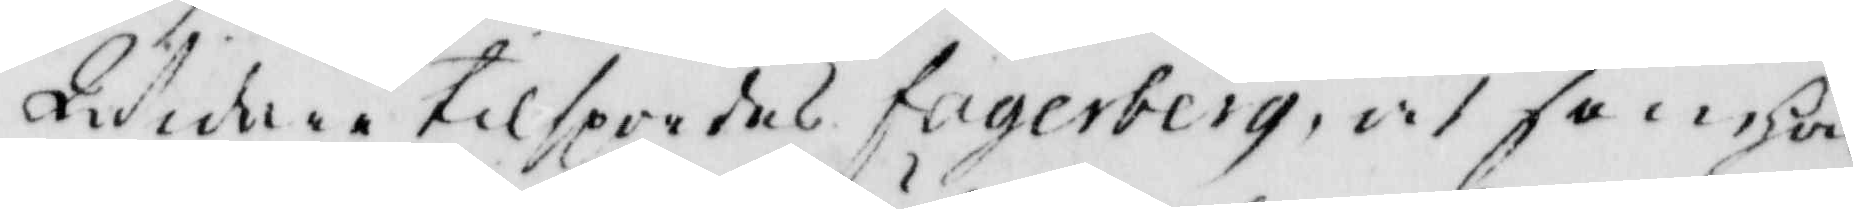Widare tilspordes fagerberg, at som hon
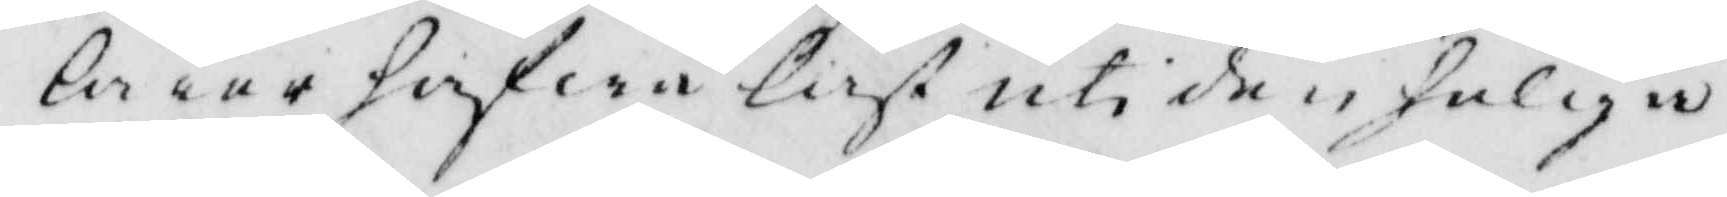lärer hafwa läst uti den heliga
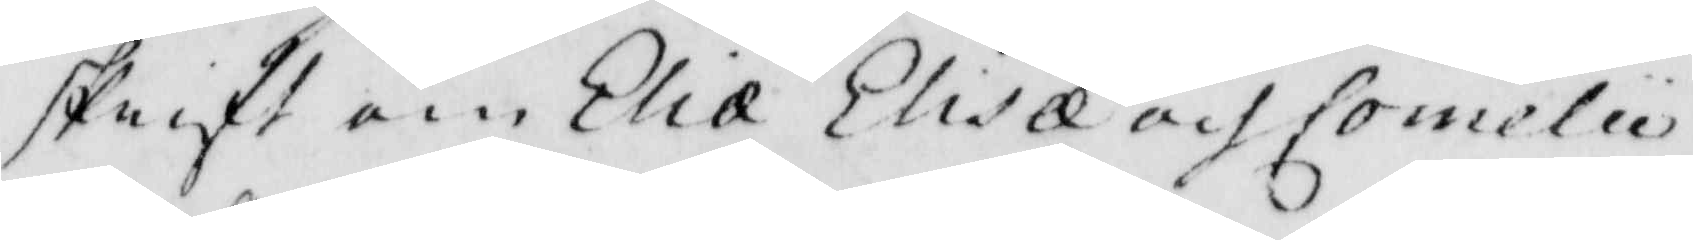skrifft om Elia Elisa och Comelu
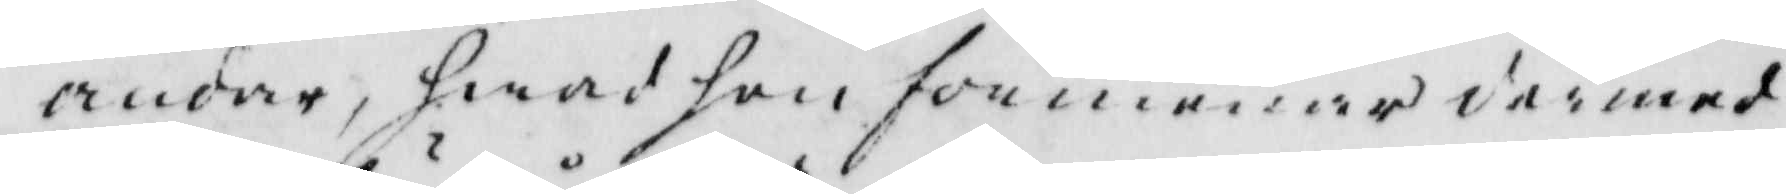andar, hwad hon förmenar därmed
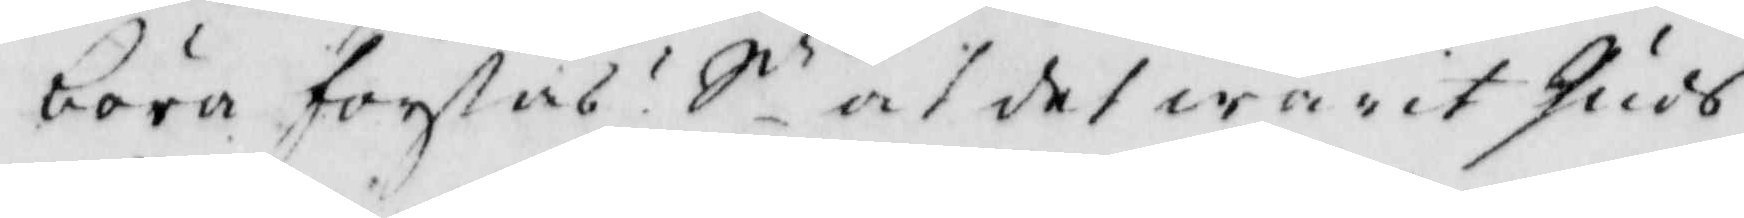böra förstås? Sr at det warit Guds
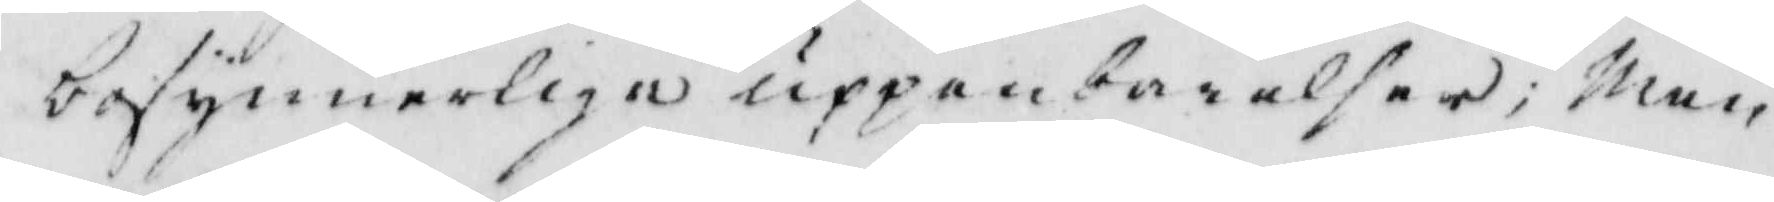besynnerliga uppenbarelser; Men
